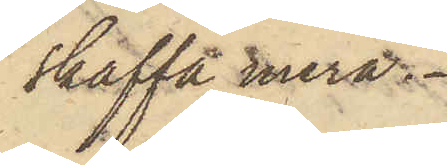skaffa mera.
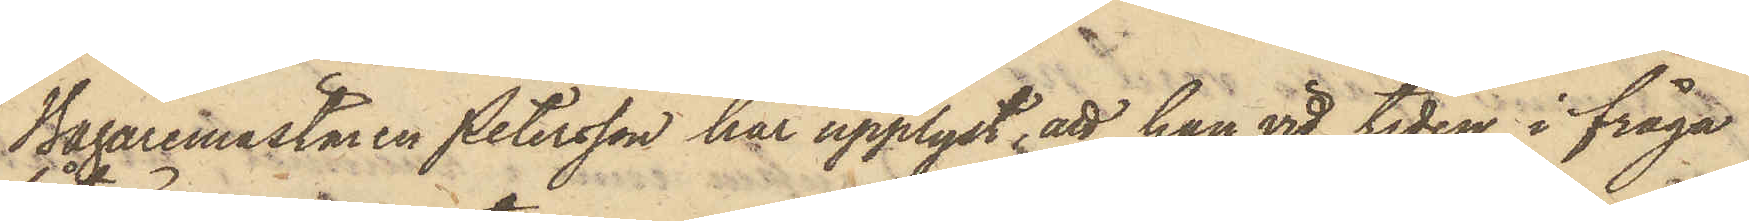Bagaremästaren Petersson har upplyst, att han vid tiden i fråga
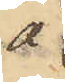å
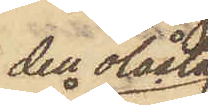den olåsta
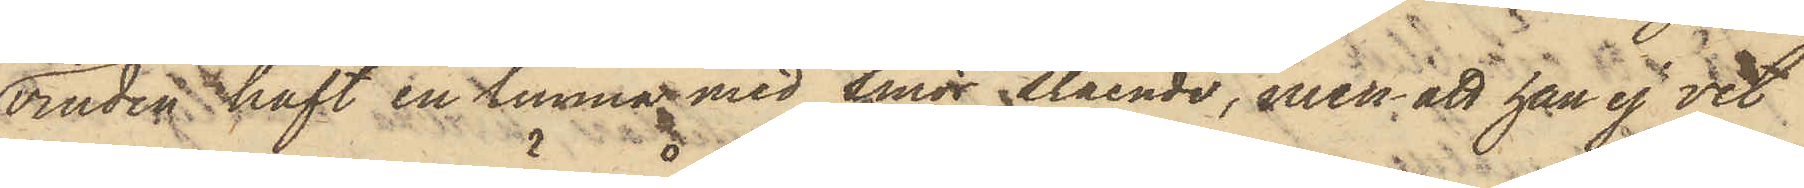vinden haft en tunna med smör stående, men att han ej vet
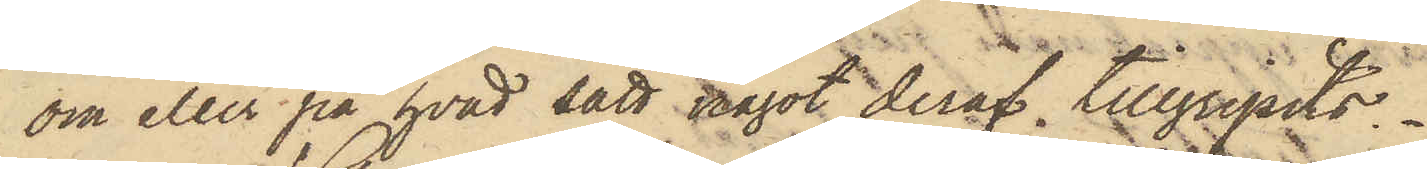om eller på hvad sätt något deraf tillgripits.
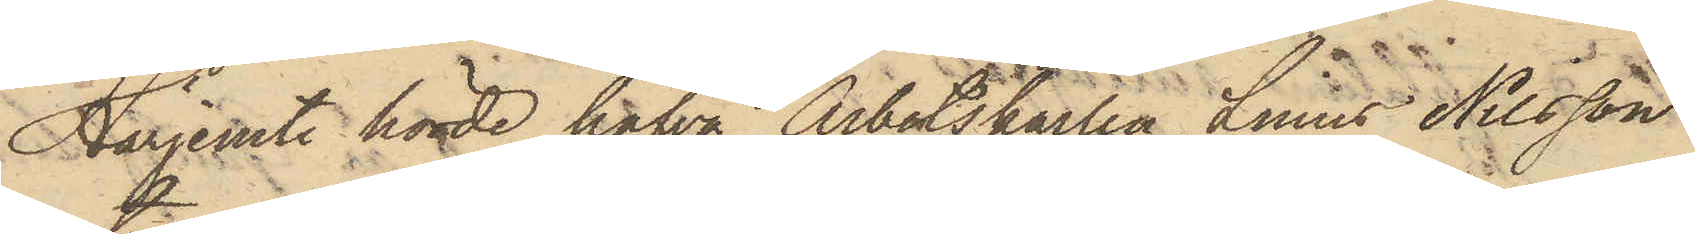Härjemte hörde hafva Arbetskarlen Linus Nilsson
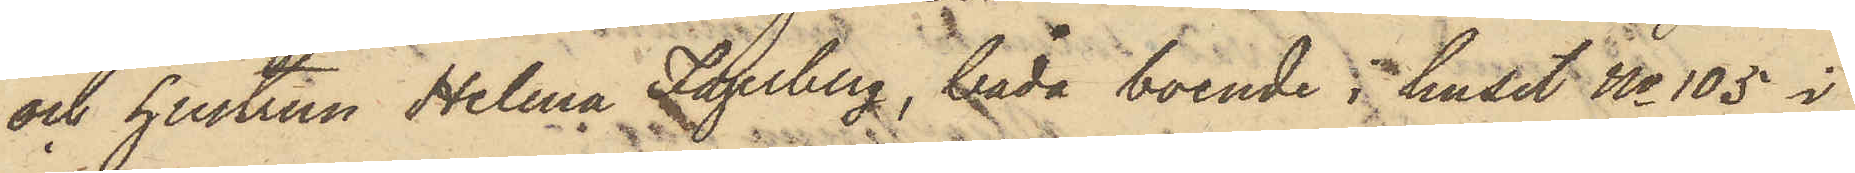och hustrun Helena Fagerberg, båda boende i huset No 105 i
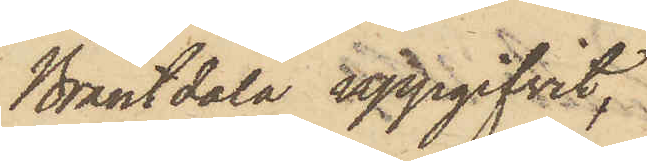Brantdala uppgifvit,
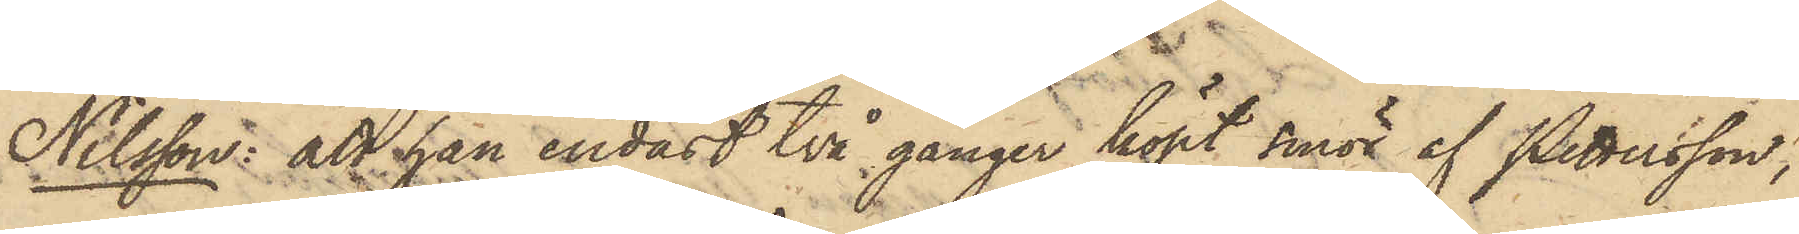Nilsson: att han endast två gånger köpt smör af Pettersson;
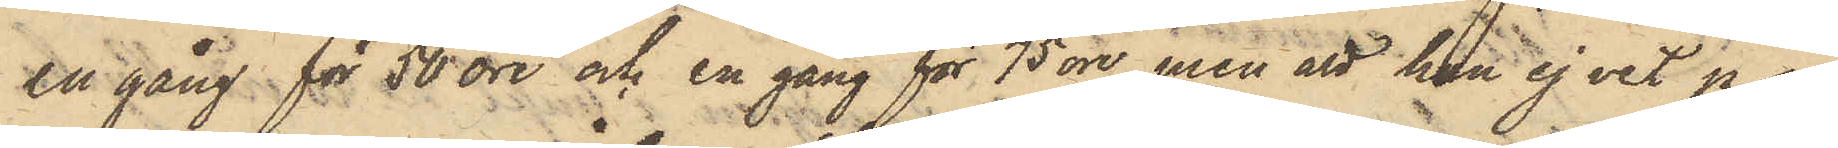en gång för 50 öre och en gång för 75 öre, men att han ej vet på
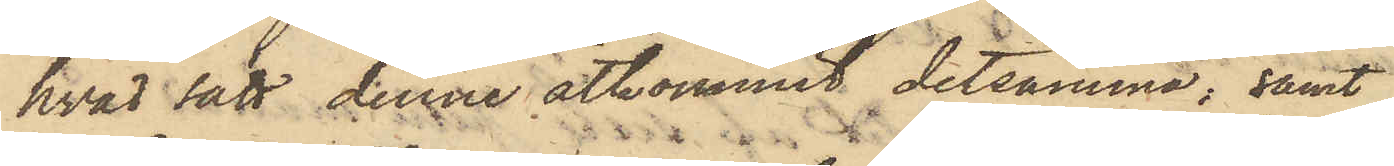hvad sätt denne åtkommit detsamma; samt
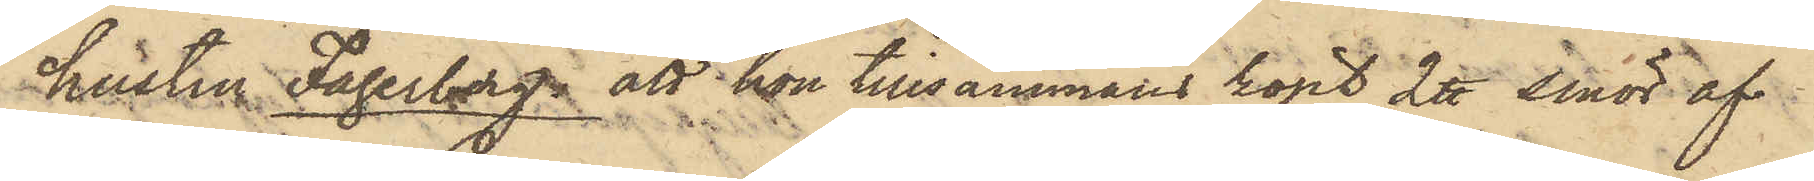hustru Fagerberg att hon tillsammans köpt 2 ℔ smör af
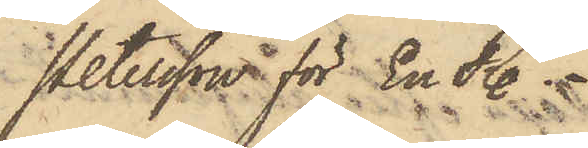Petersson för En R.
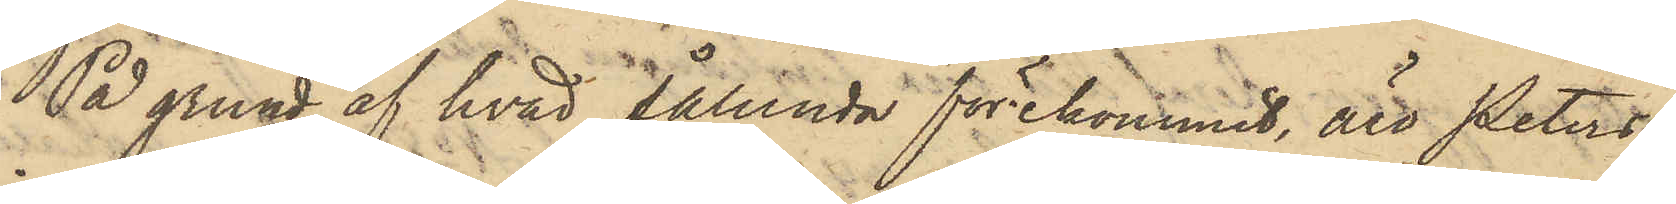På grund af hvad sålunda förekommit, äro Peters¬
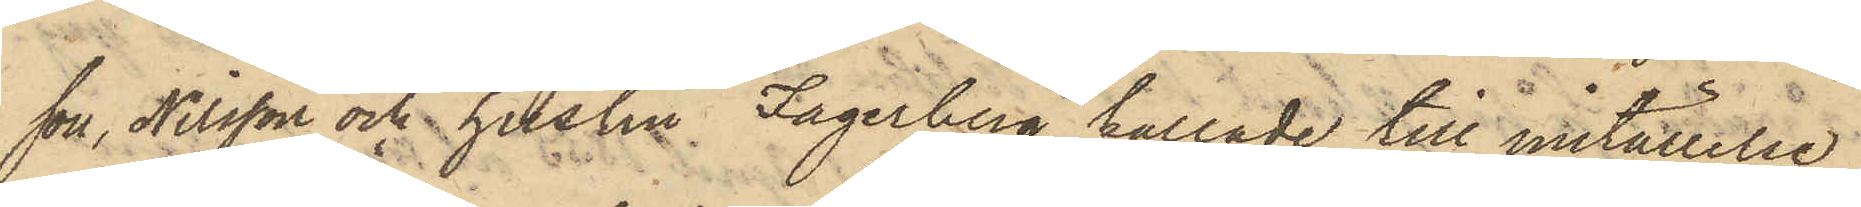son, Nilsson och hustru Fagerberg kallade till inställelse
